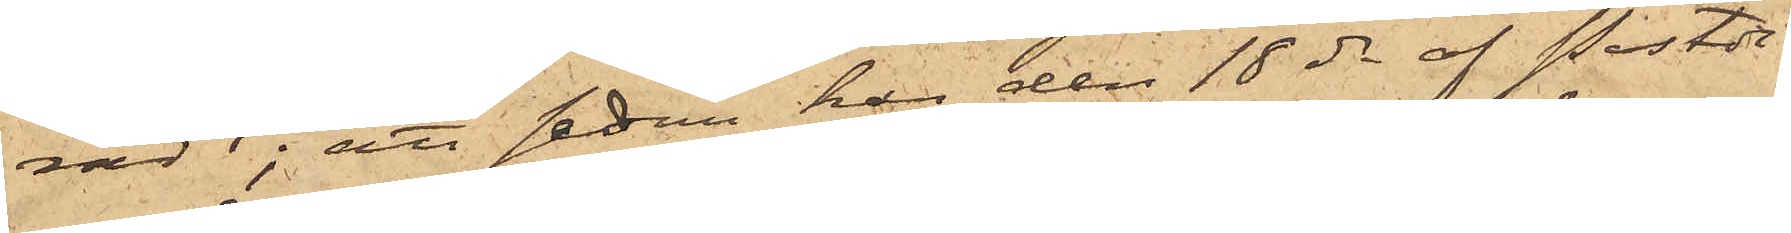radt; att sedan han den 18 ds af Postdi¬
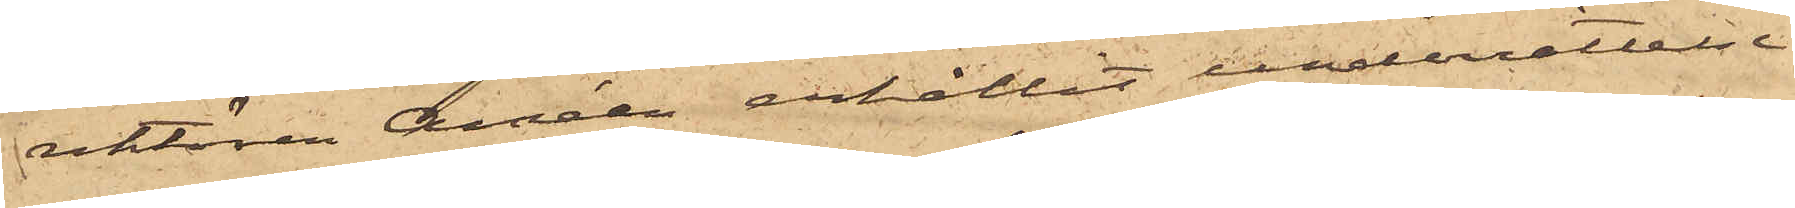rektören Améen erhållit underrättelse
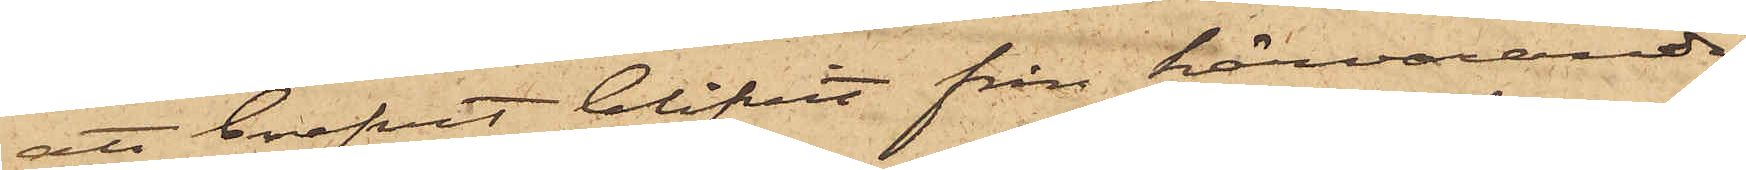att brefvet blifvit från härvarande
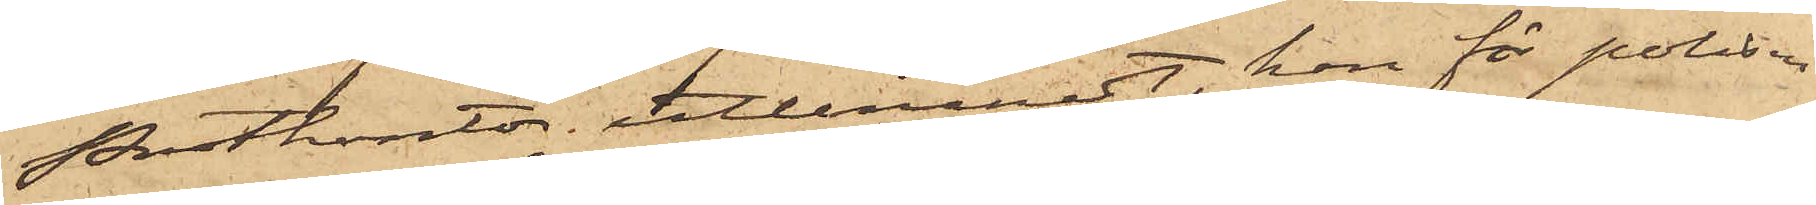Postkontor utlemnat, han för polisen
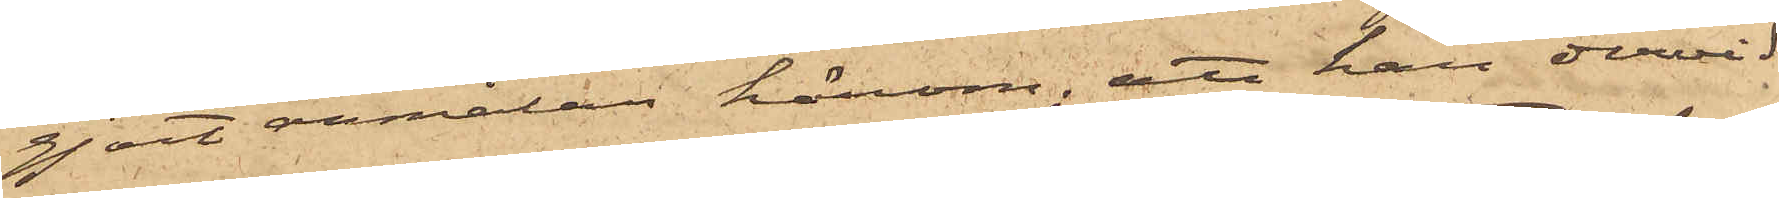gjort anmälan härom; att han dervid
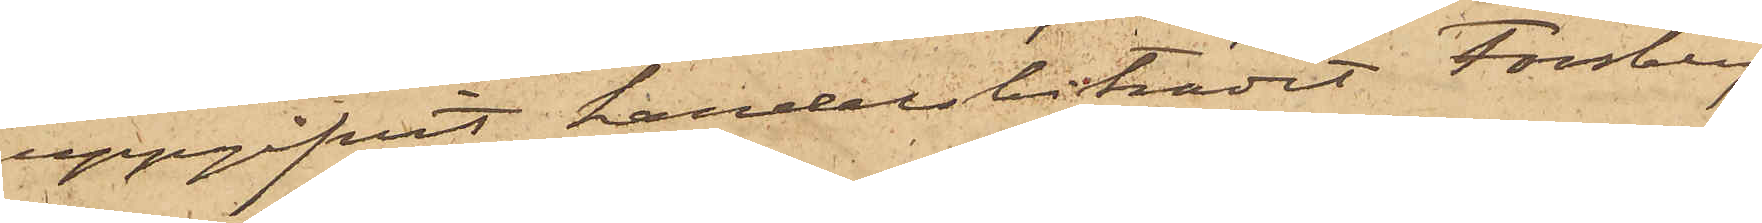uppgifvit handelsbiträdet Forsberg
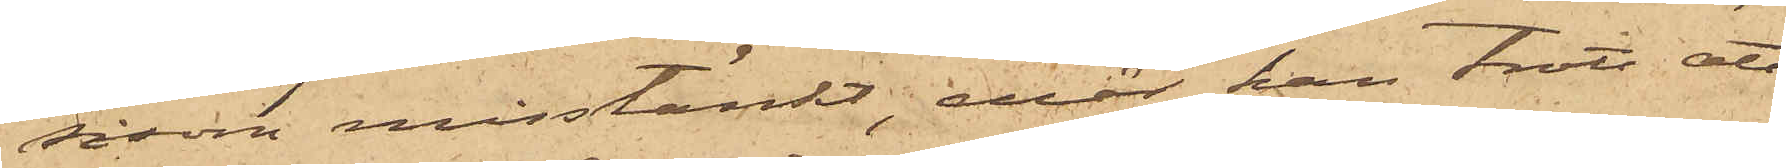såsom misstänkt, enär han trott att
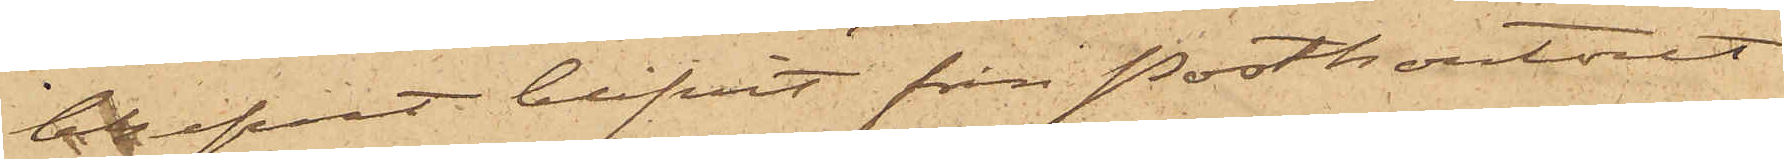brefvet blifvit från Postkontoret
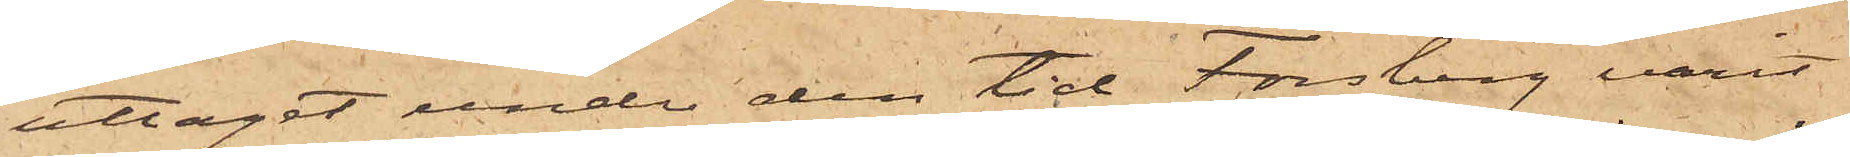uttaget under den tid Forsberg varit
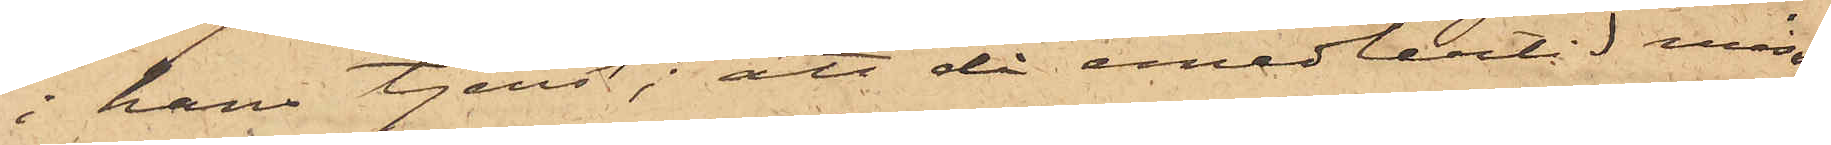i hans tjenst; att då emedlertid miss¬
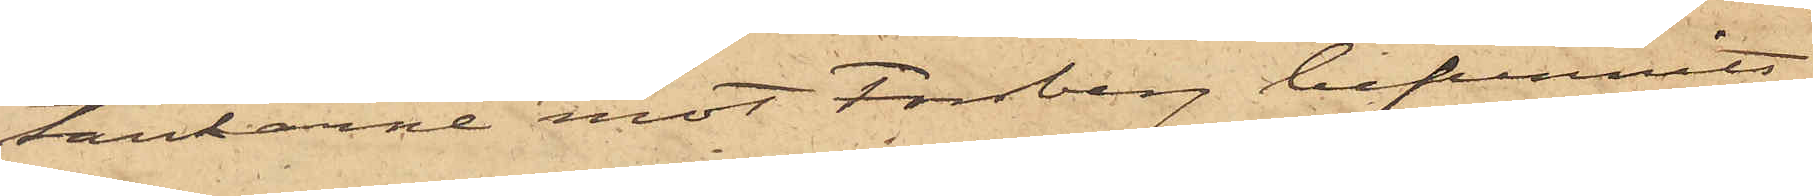tankarne mot Forsberg befunnits
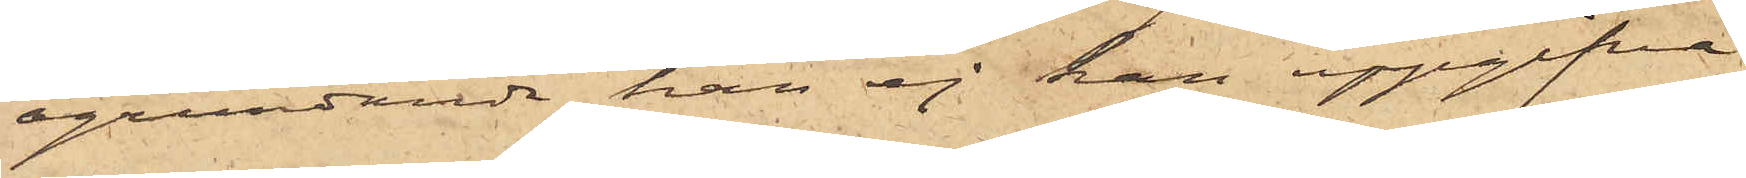ogrundande, han ej kan uppgifva
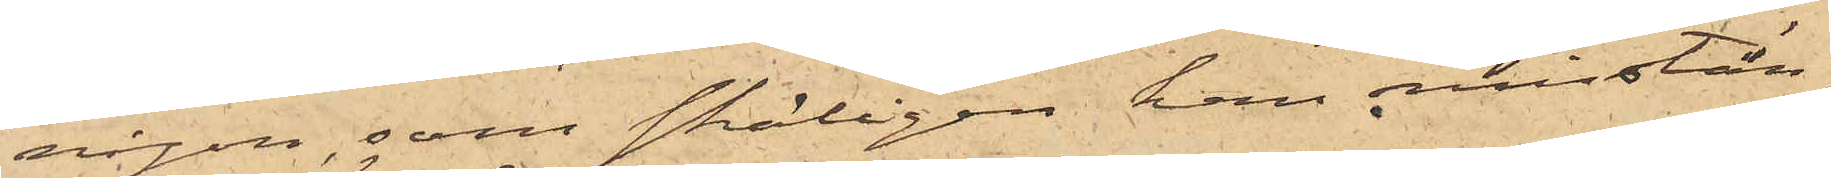någon, som skäligen kan misstän¬
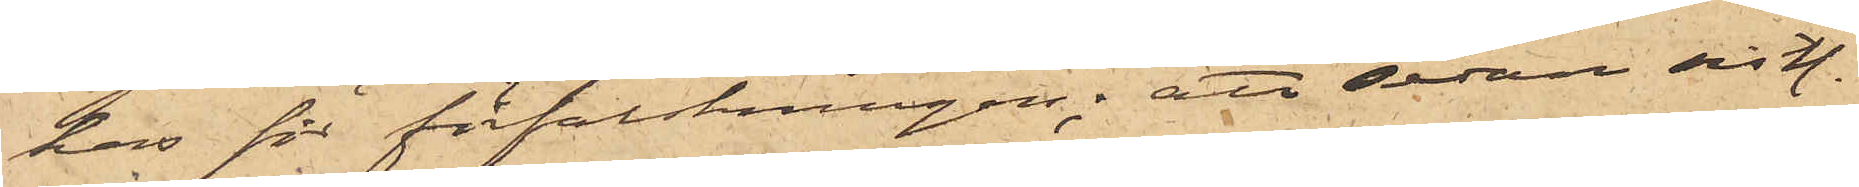kas för förfalskningen; att sedan sist.
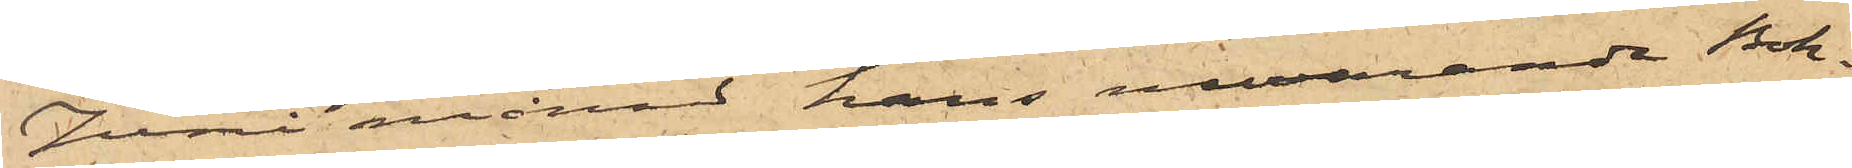Juni månad hans nuvarande Bok¬
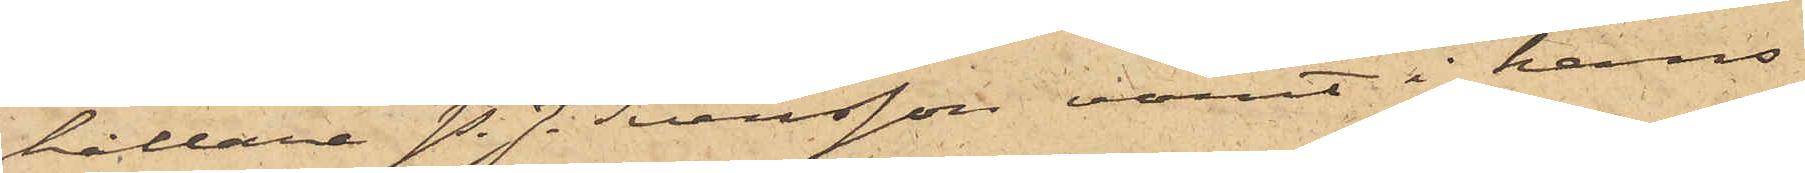hållare P. J. Svensson varit i hans
